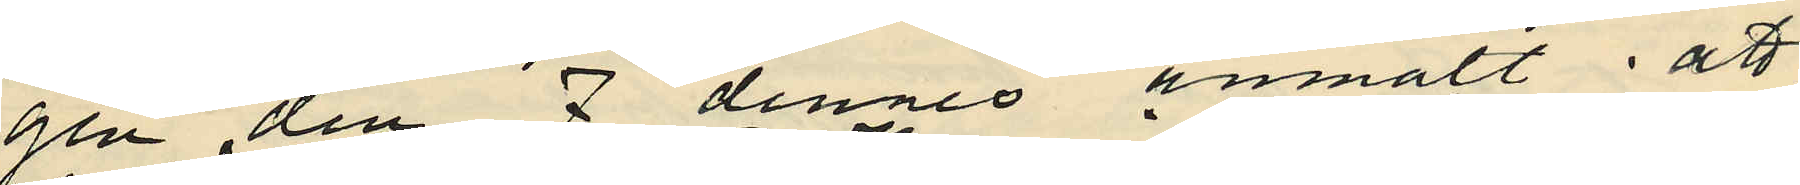gen den 7 dennes anmält att
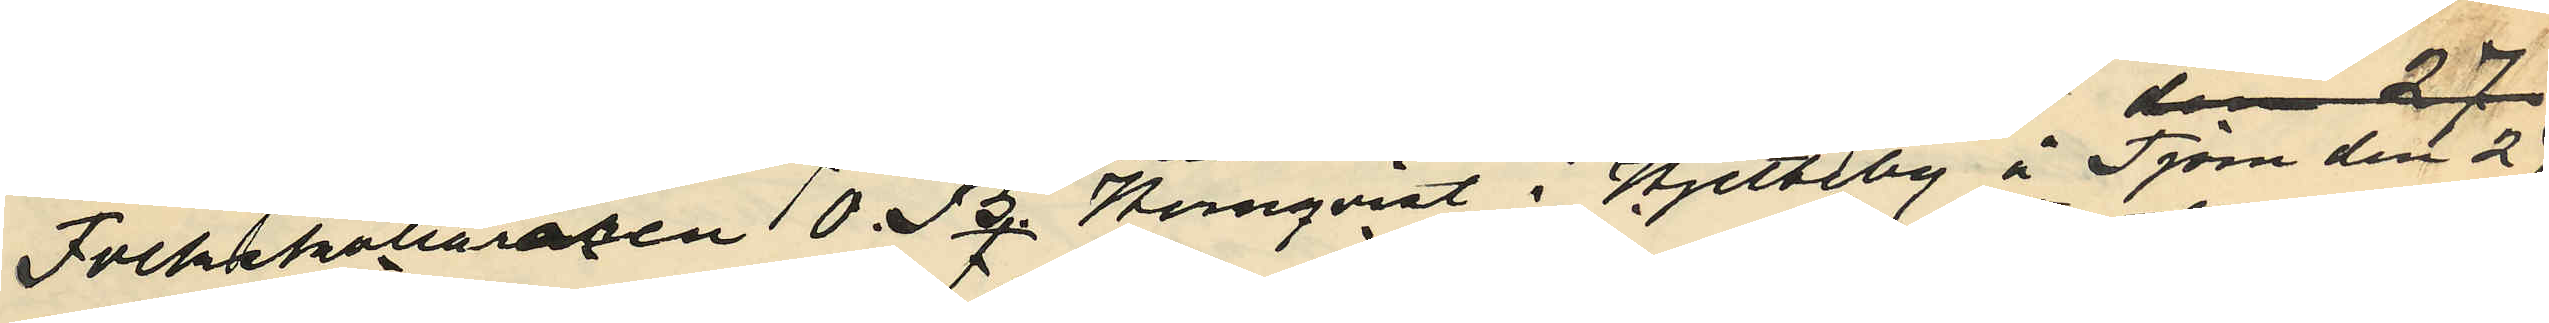Folkskolläraren O. B. Hernqvist i Hjelteby å Tjörn den 2
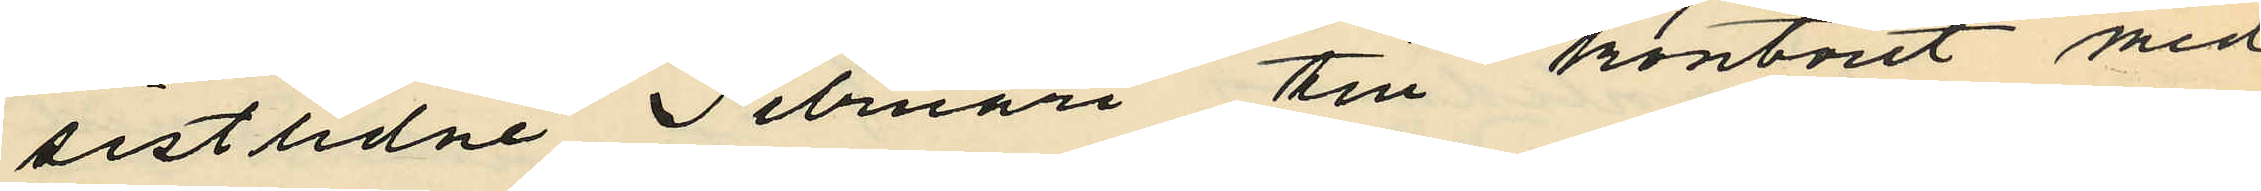sistlidne Februari till kontoret med
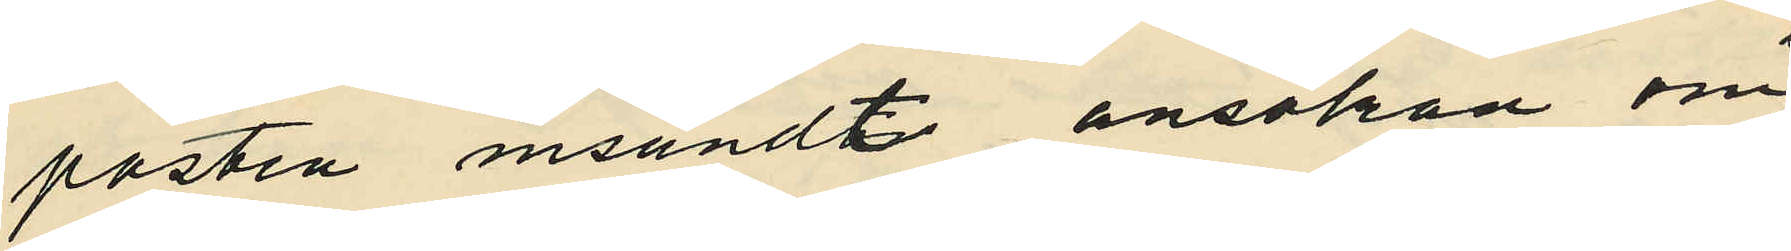posten insändt ansökan om
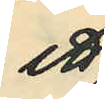ett
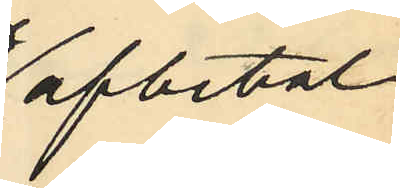afbetal¬
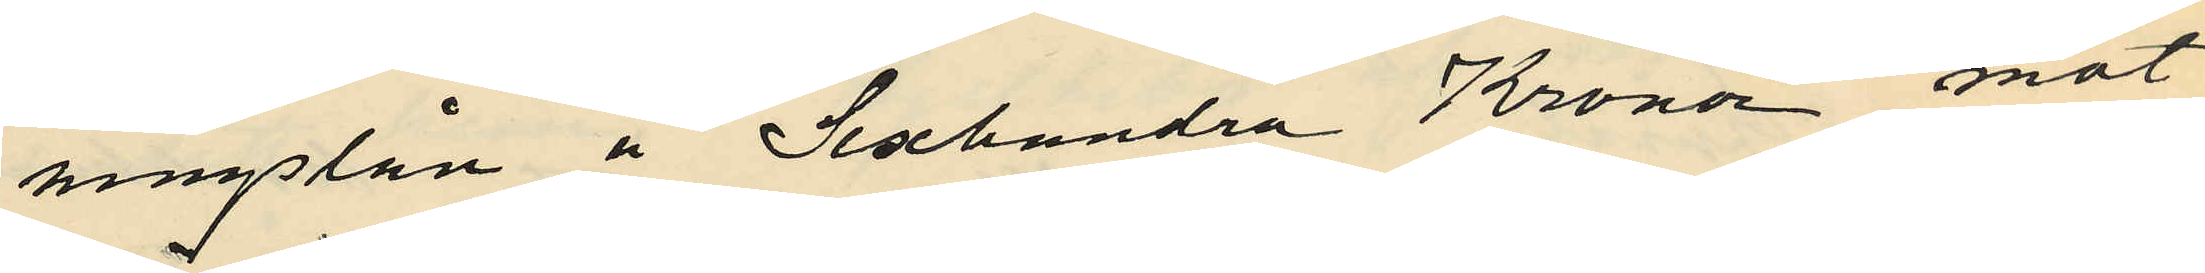ningslån å Sexhundra Kronor mot
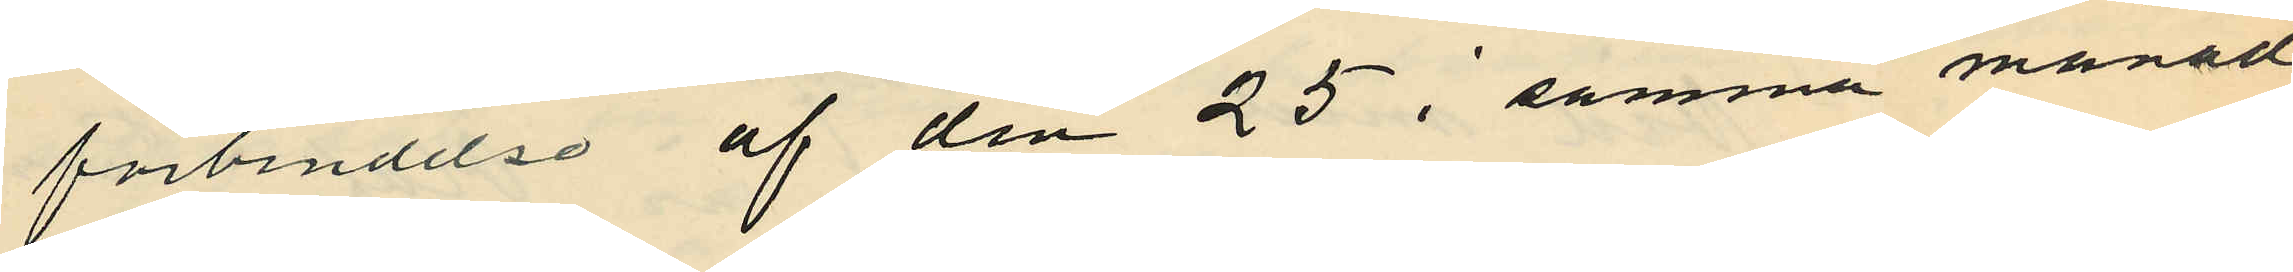förbindelse af den 25 i samma månad
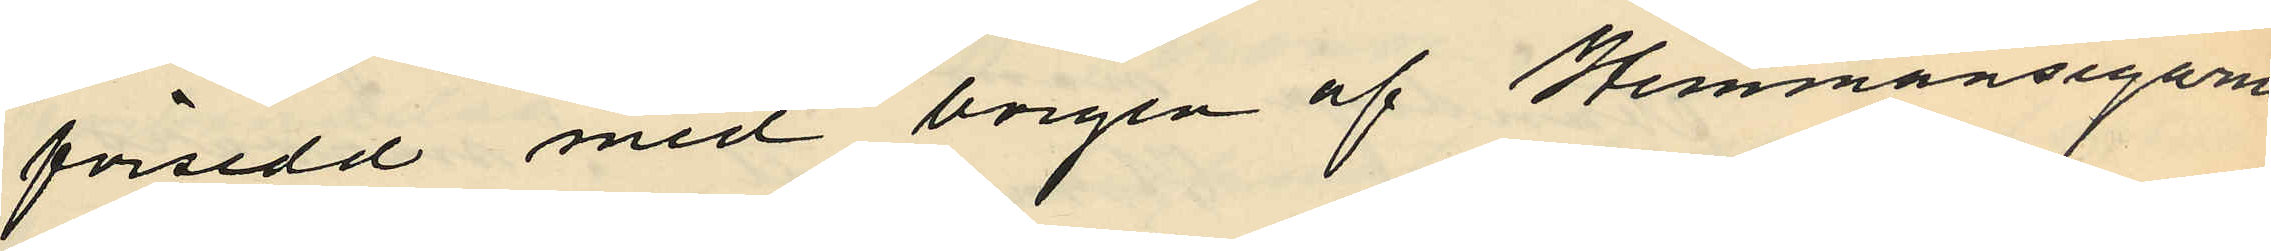försedd med borgen af Hemmansegarne
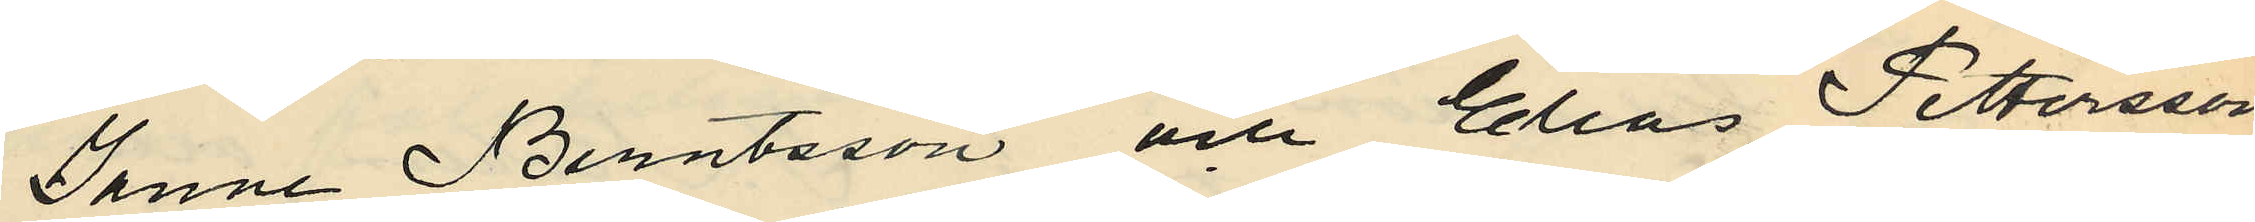Janne Berntsson och Elias Pettersson
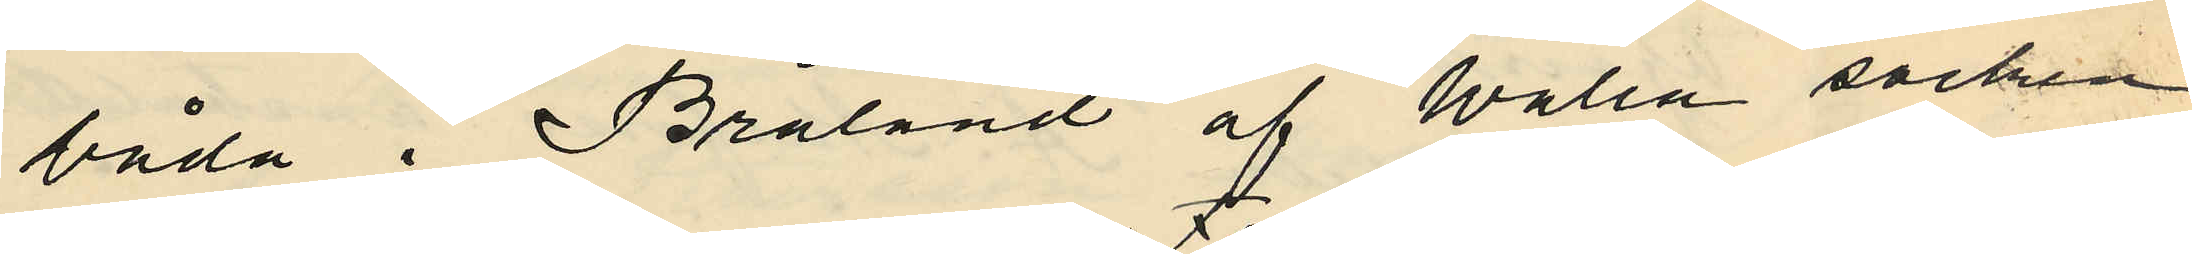båda i Bråland af Walla socken
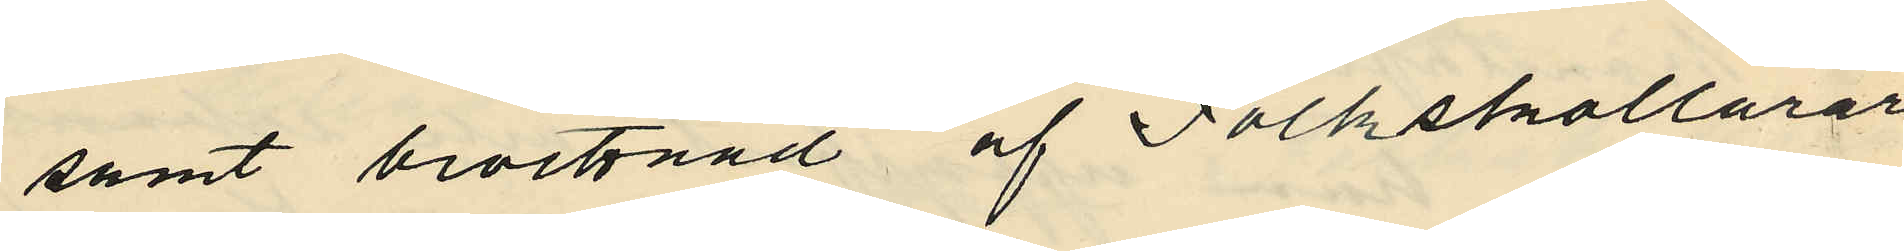samt bevitnad af Folkskollärar¬
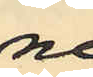ne
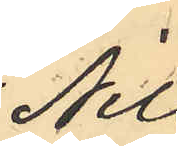Nils
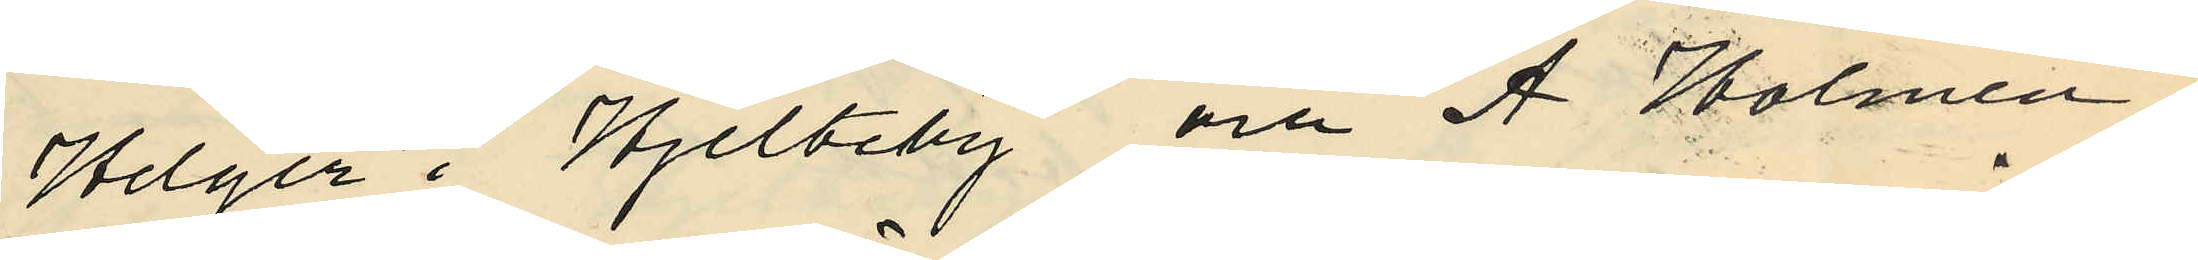Helger i Hjelteby och A. Holmen i
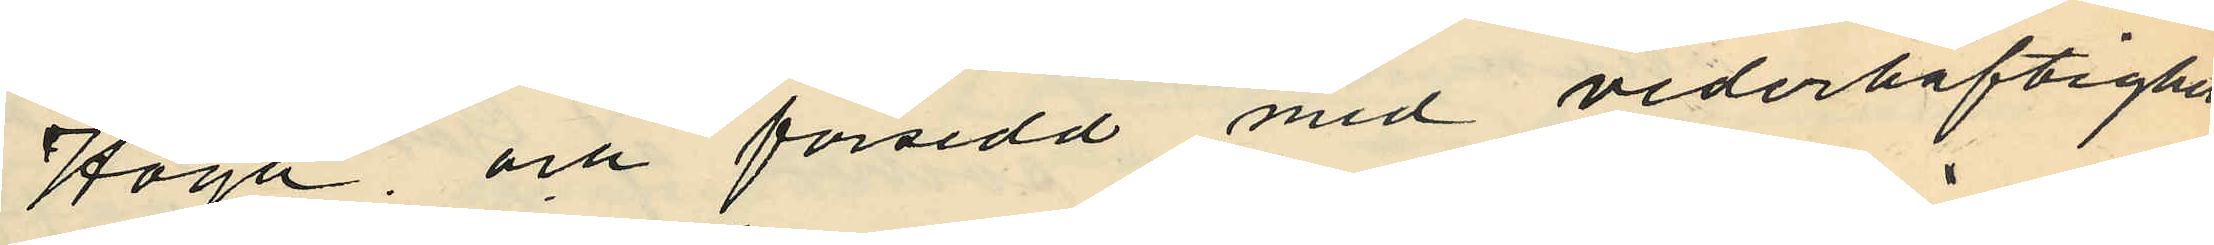Hoga och försedd med vederhäftighets¬
